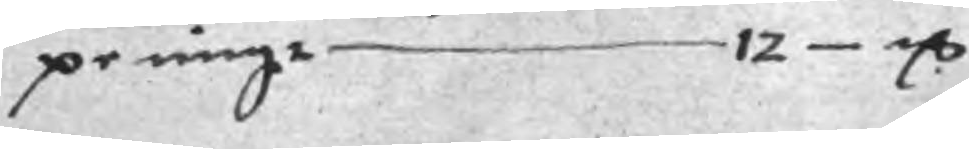penigar 12 mC
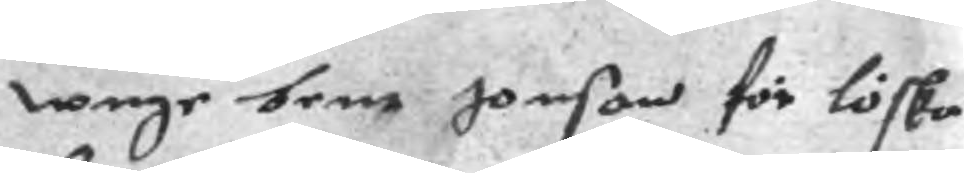wnge bent Jonson för löska
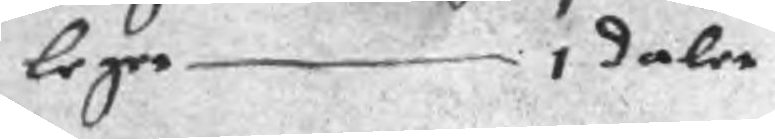leger 1 daler
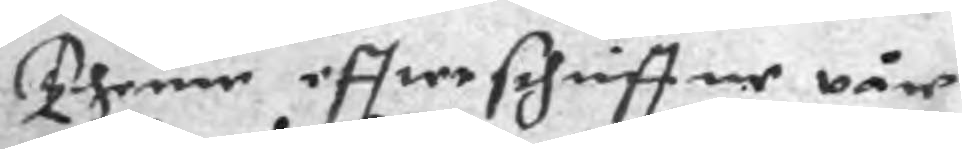Thene effterschriffne våre
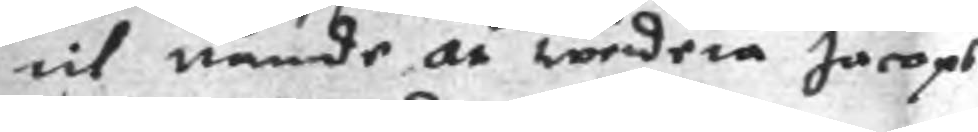til nånder, at werdera Jacops
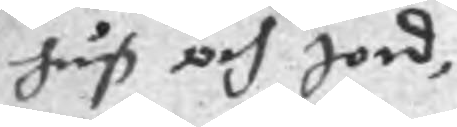huß och Jord,
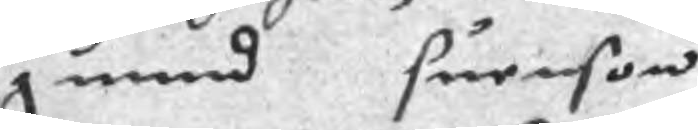gunnd suenson
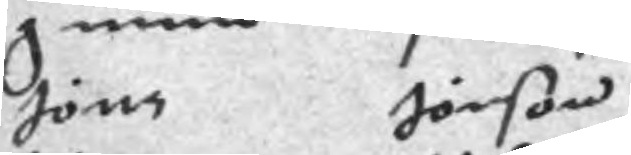Jöns Jönson
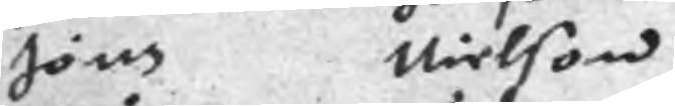Jöns Nielson
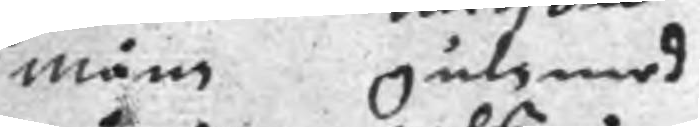måns gulzmed
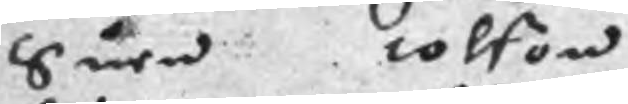Suen tolson
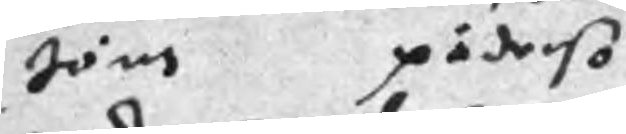Jöns pädeso
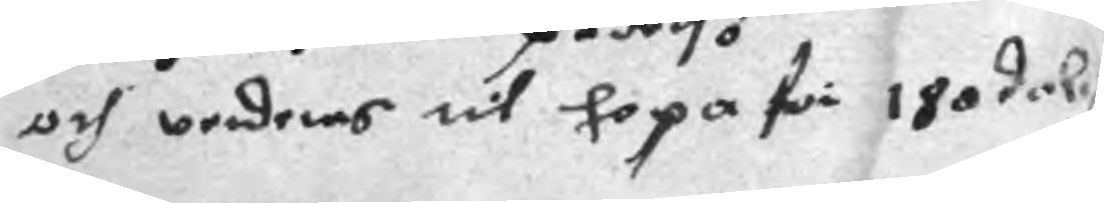och verderes til hopa för 180 daler
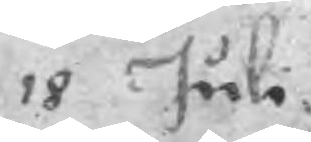18 Juli
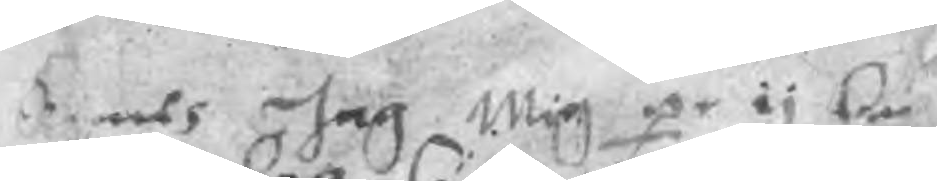Emoth Jag Mig pe ij C
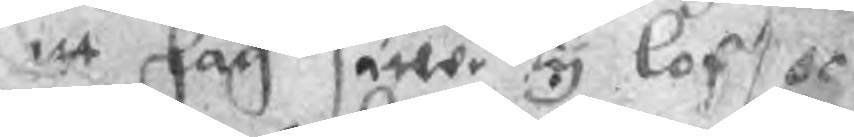att Jag sätter y lof oc
